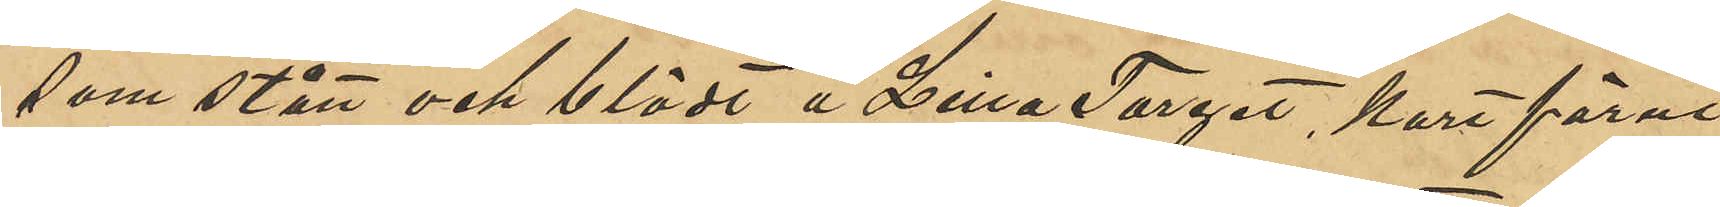som stått och blödt å Lilla Torget kort förut
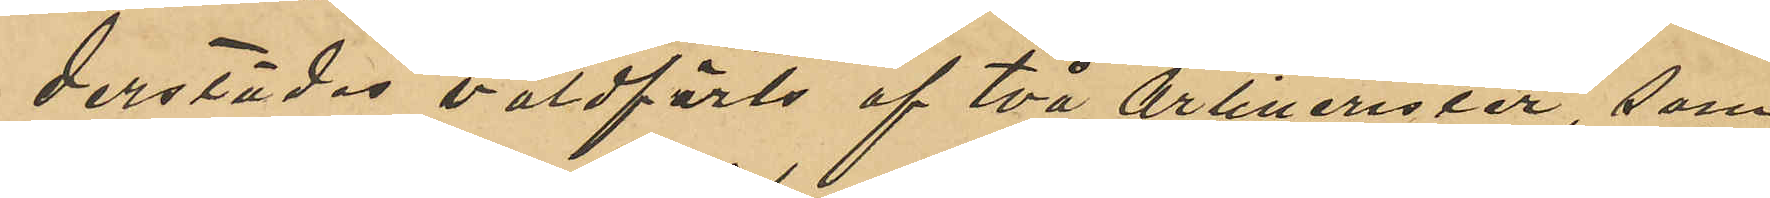derstädes våldförts af två artillerister, som
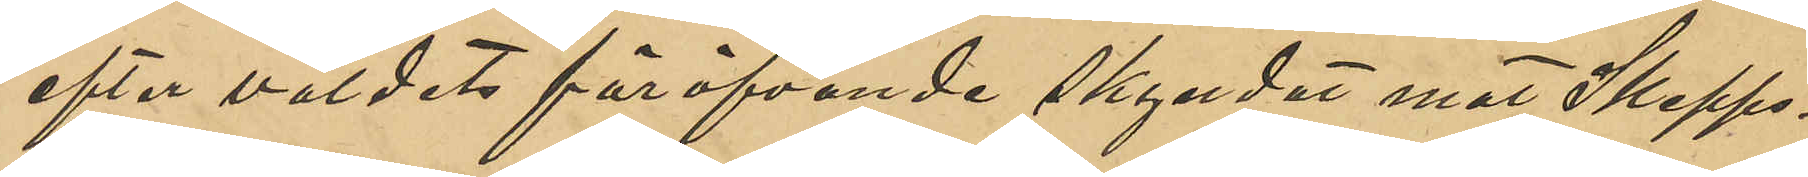efter våldets föröfvande skyndat mot Skepps¬
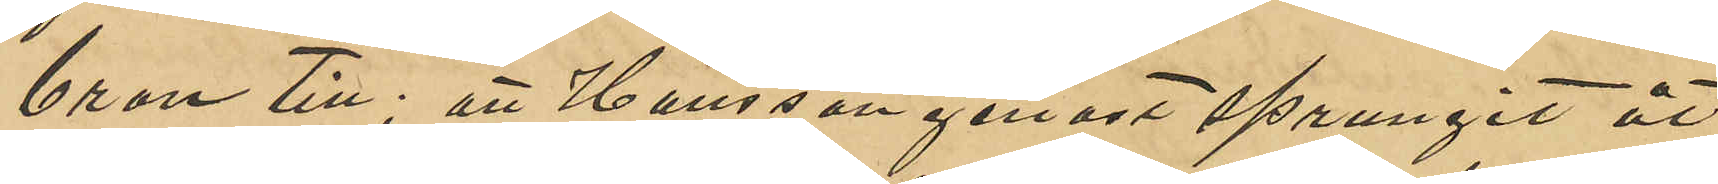bron till; att Hansson genast sprungit åt
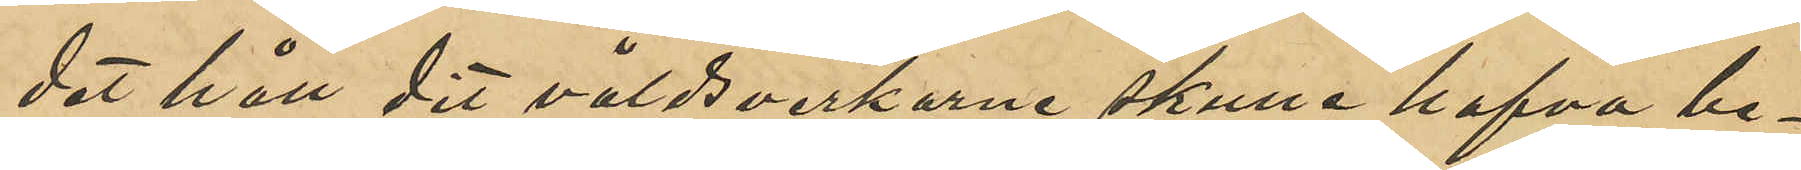det håll dit våldsverkarna skulle hafva be¬
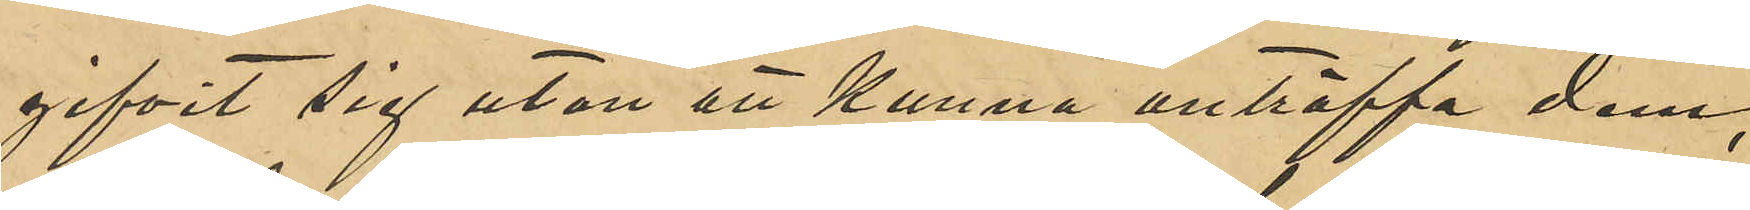gifvit sig utan att kunna anträffa dem,
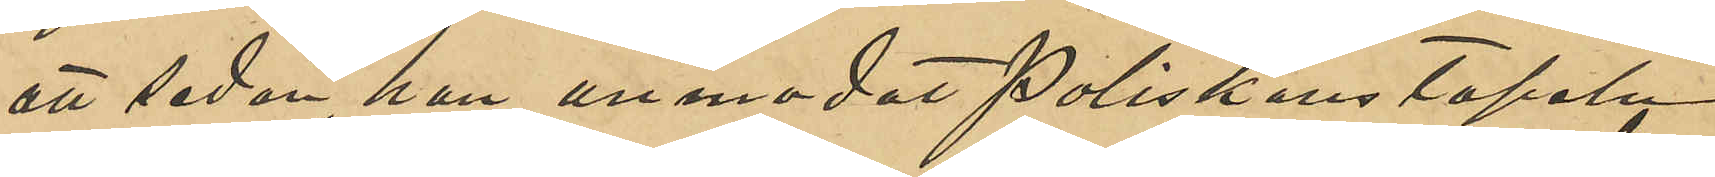att sedan han anmodat Poliskonstapeln
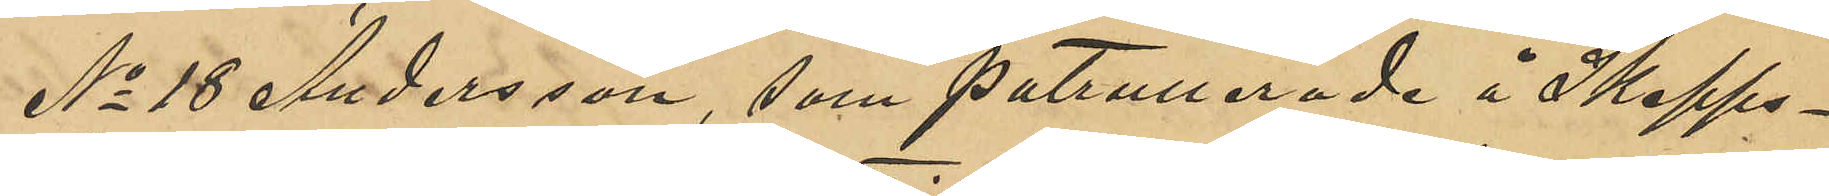No 18 Anderson, som patrullerade å Skepps¬
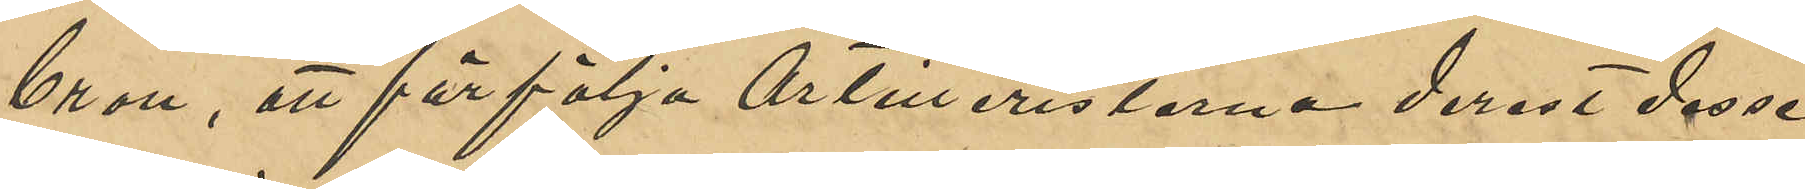bron, att förfölja Artilleristerna derest dessa
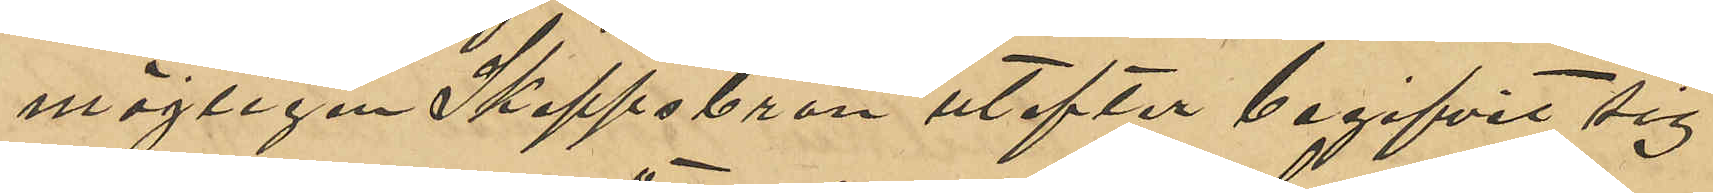möjligen Skeppsbron utefter begifvit sig
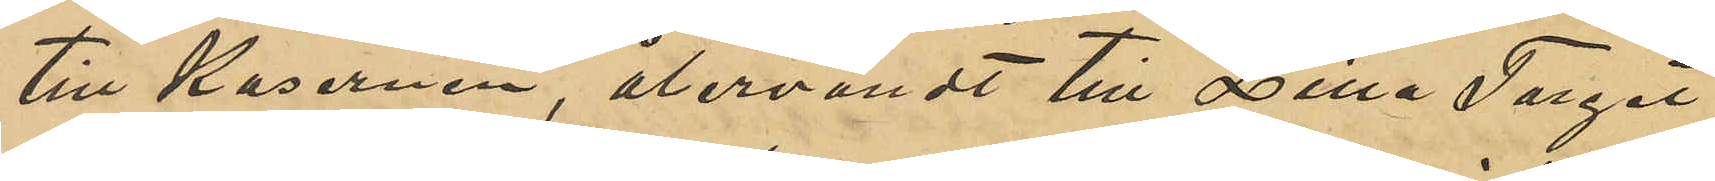till Kasernen, återvändt till Lilla Torget,
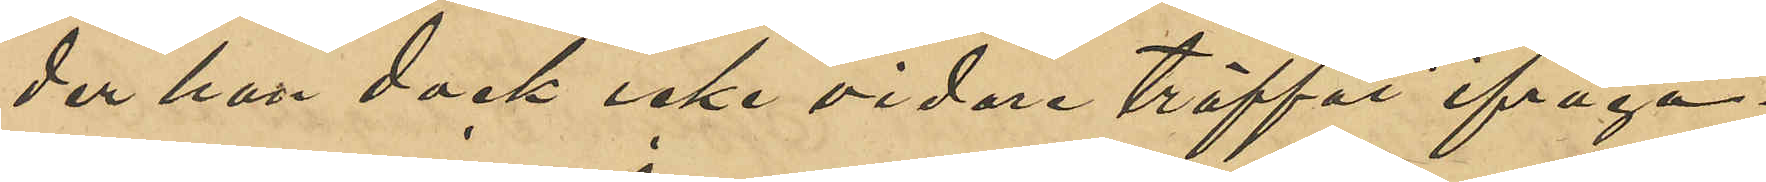der han dock icke vidare träffat ifråga¬
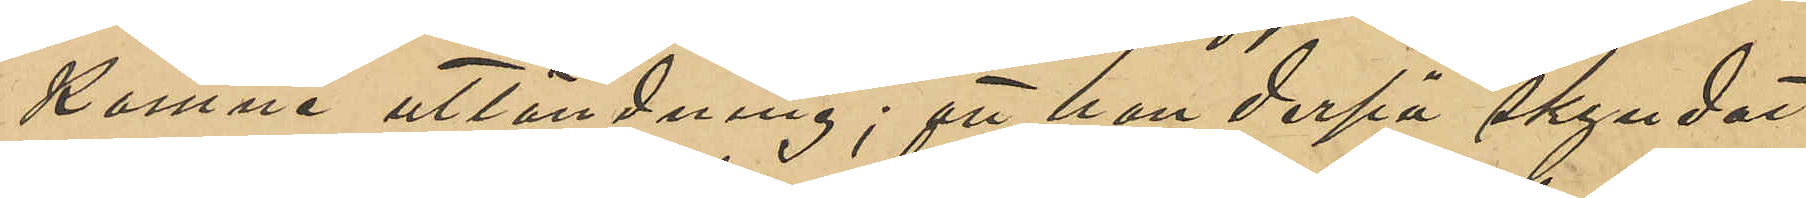komne utländning; att han derpå skyndat
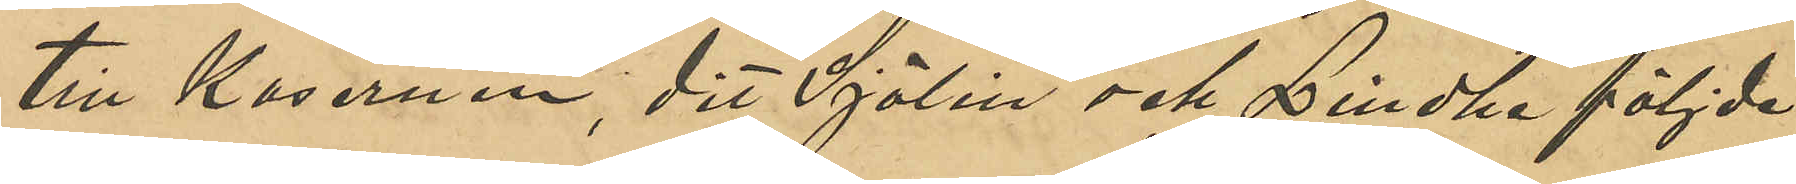till Kasernen, dit Sjölin och Lindhe följde
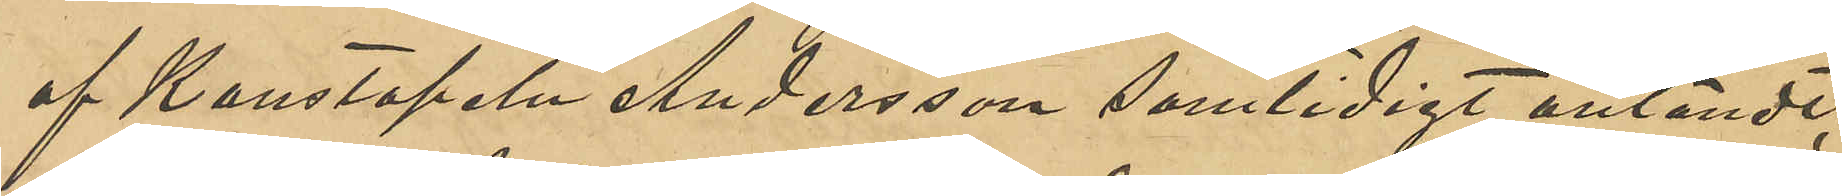af Konstapeln Andersson samtidigt anländt;
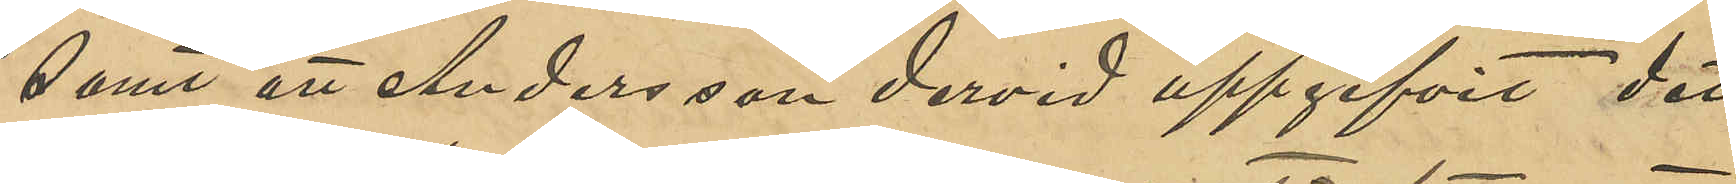samt att Andersson dervid uppgifvit det
